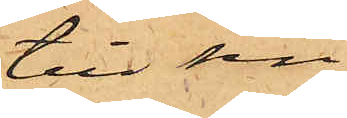till sin
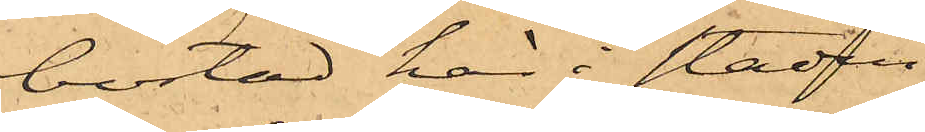bostad här i staden,
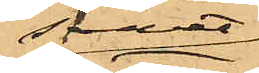samt
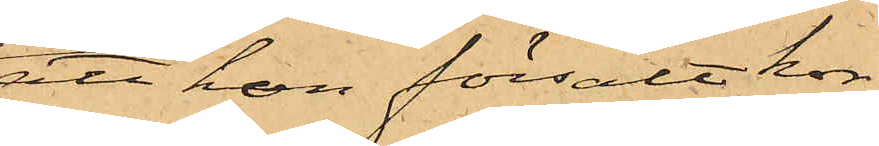att hon försålt kor¬
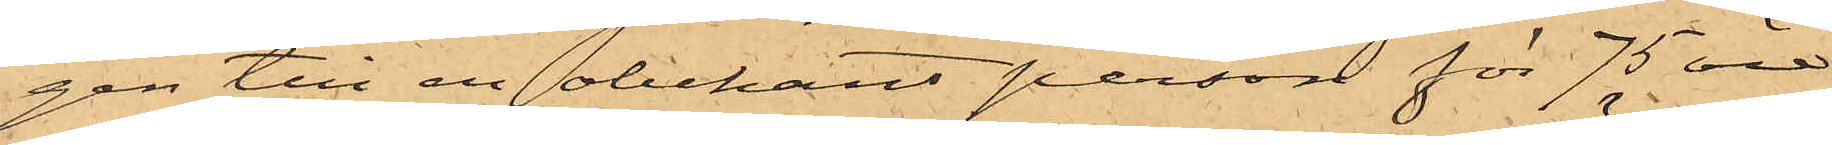gen till en obekant person för 75 öre
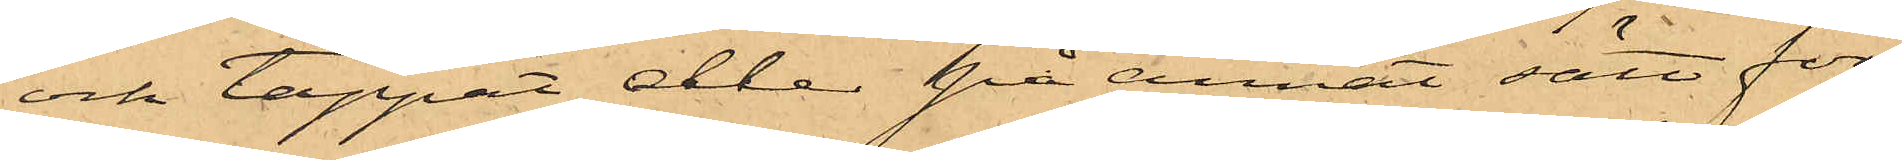och tappat eller på annat sätt för¬
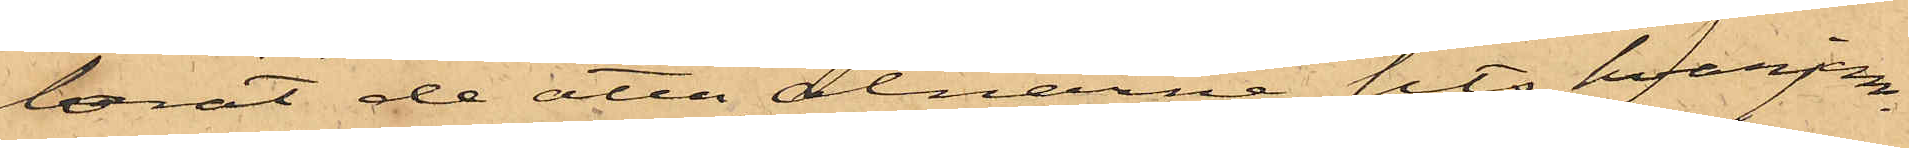lorat de åtta alnarne sits, hvarjem¬
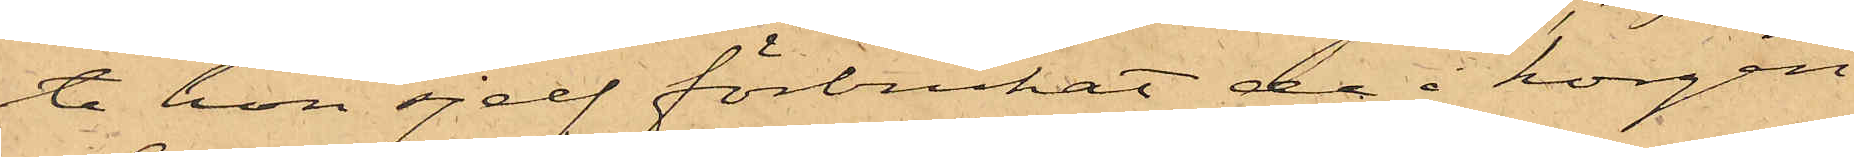te hon sjelf förbrukat de i korgen
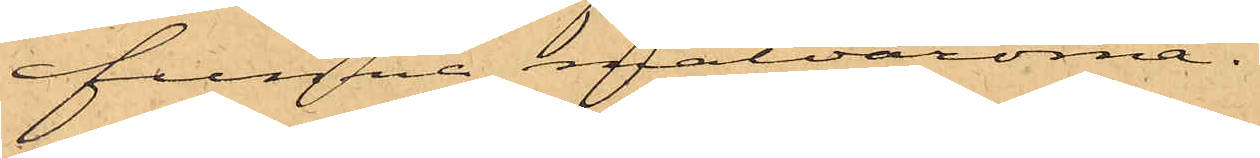funna matvarorna;
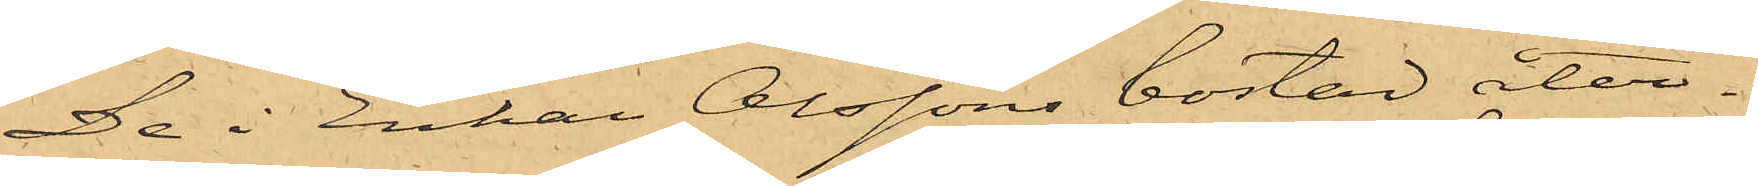De i Enkan Olssons bostad åter¬
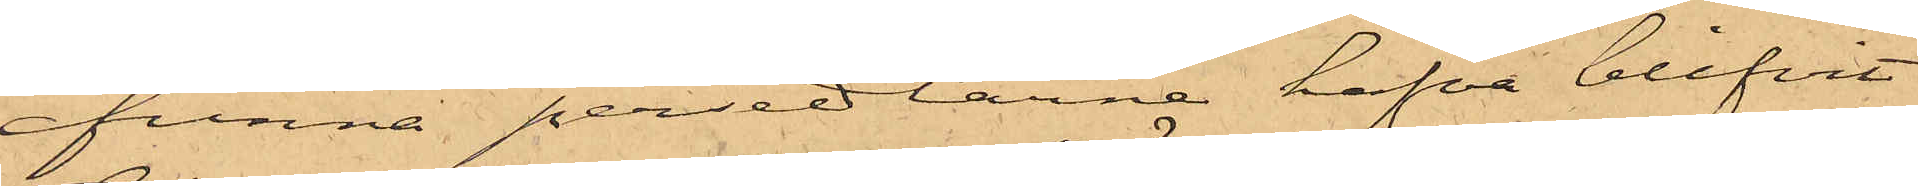funna persedlarne hafva blifvit
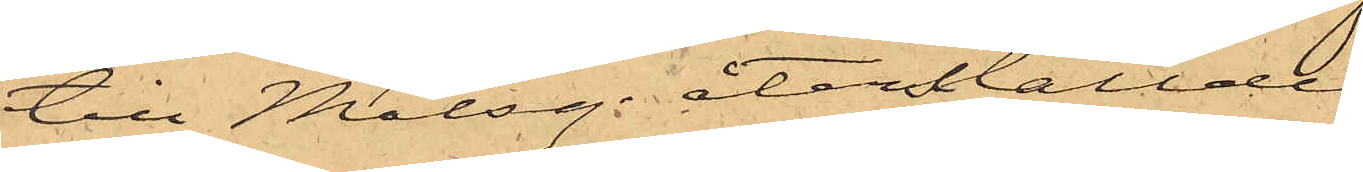till Målseg. återställde
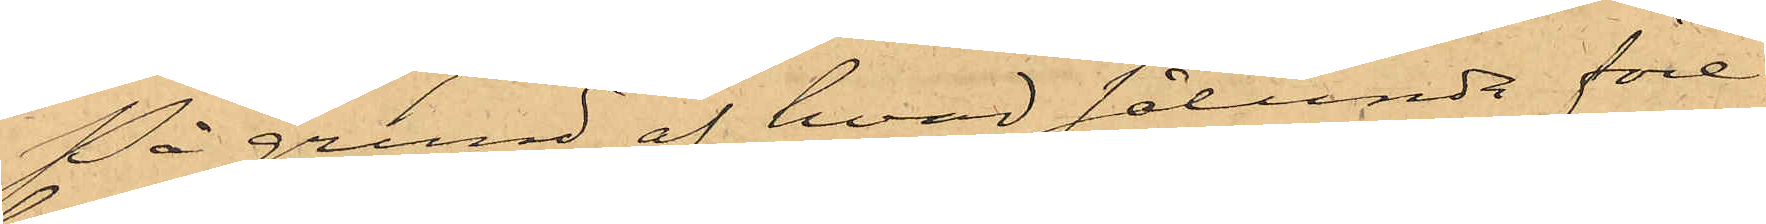På grund af hvad sålunda före¬
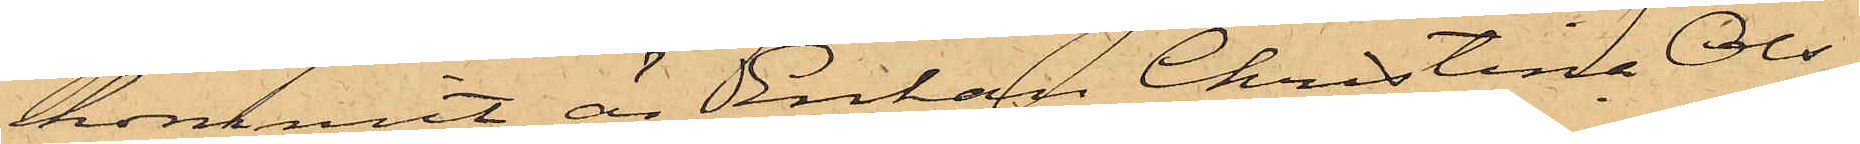kommit, är Enkan Christina Ols¬
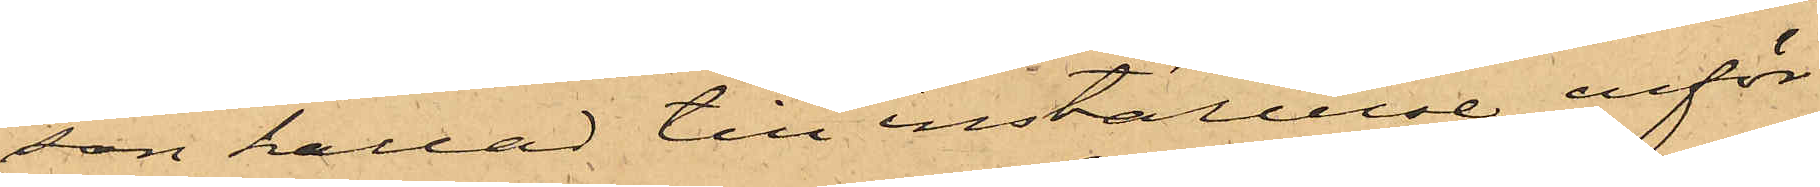son kallad till inställelse inför
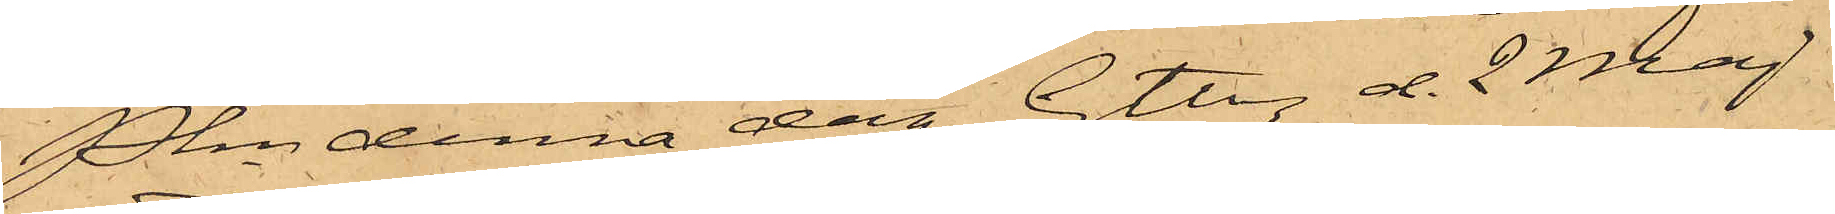Pkn denna dag. Gtbg d. 2 Maj
